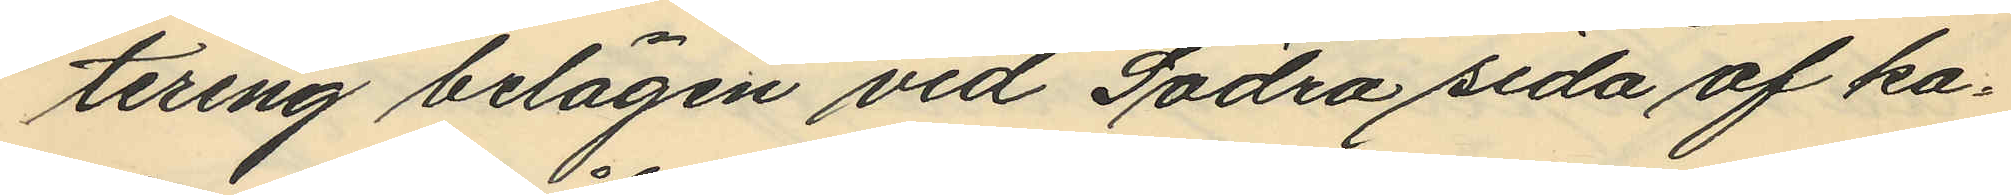tering belägen vid Södra sida af ka¬
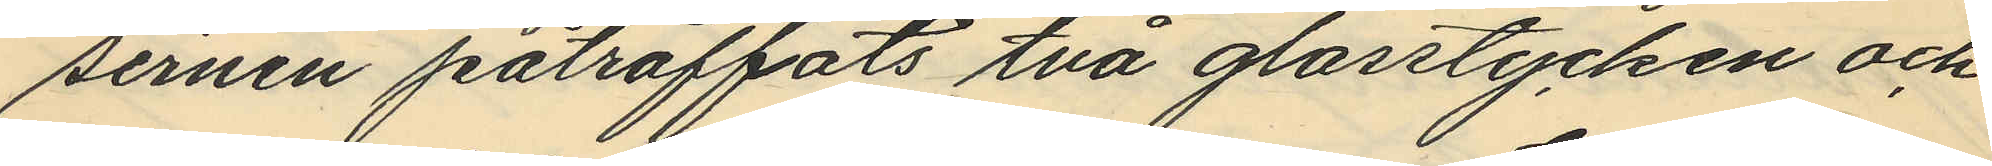sernen påträffats två glasstycken och
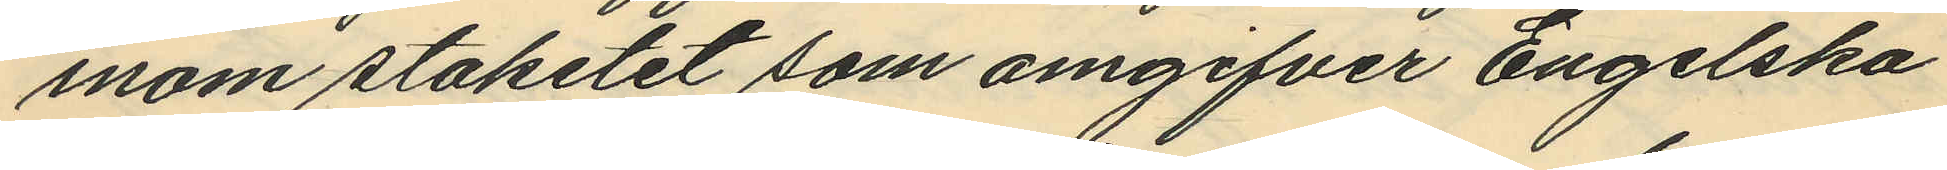inom staketet som omgifver Engelska
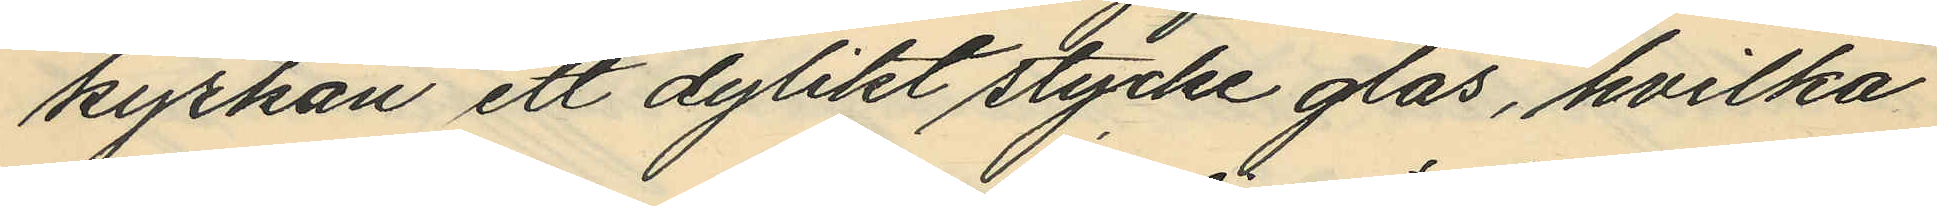kyrkan ett dylikt stycke glas, hvilka
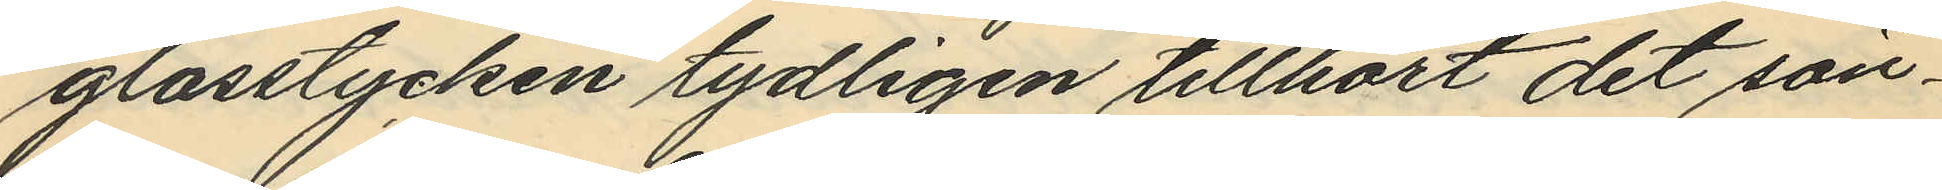glasstycken tydligen tillhört det sön¬
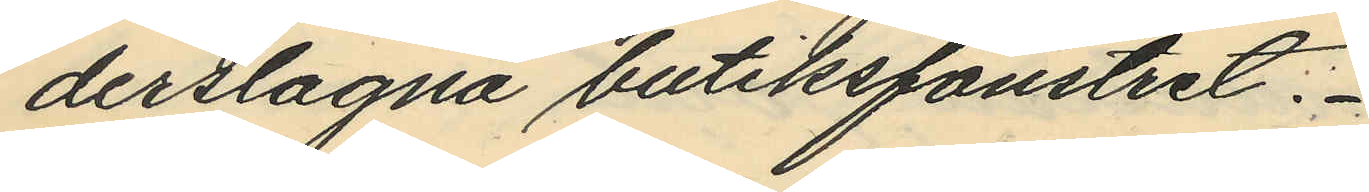derslagna butiksfönstret.
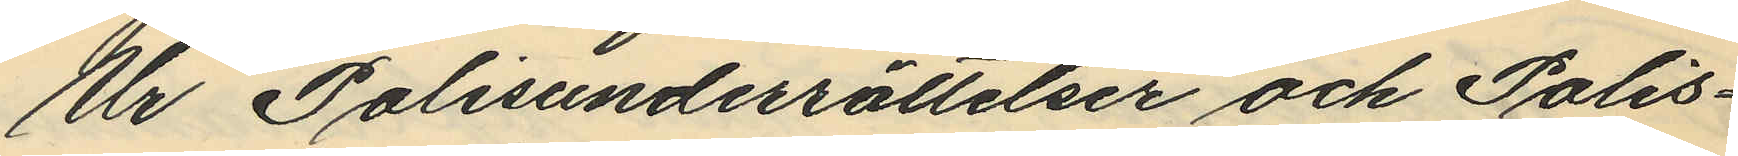Ur Polisunderrättelser och Polis¬
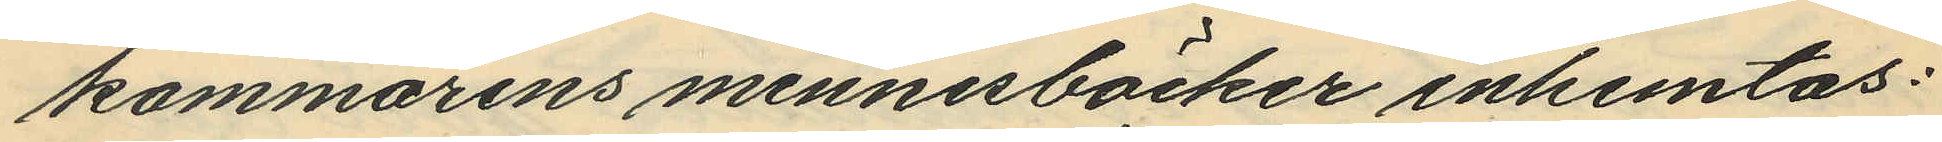kammarens minnesböcker inhemtas:
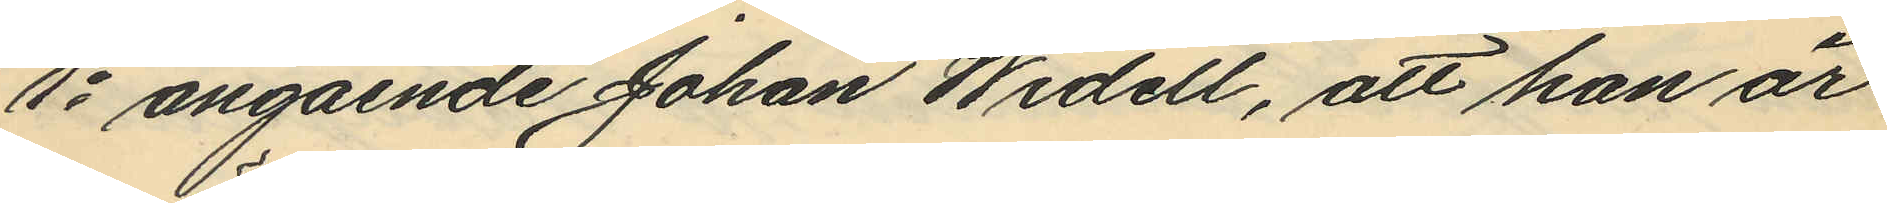1o angående Johan Widell, att han är
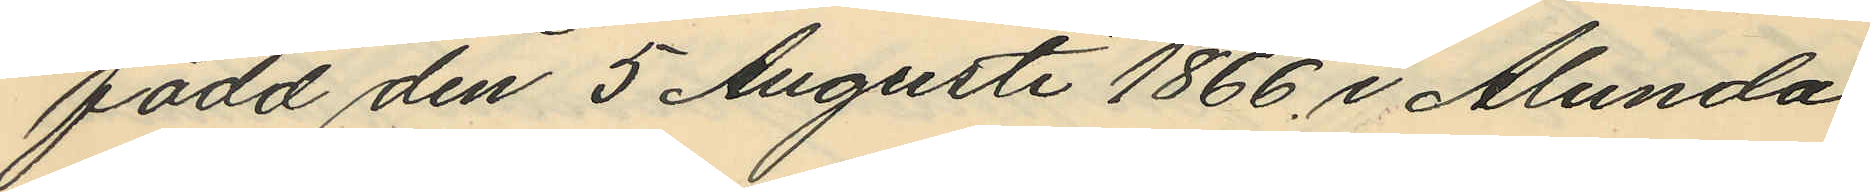född den 5 Augusti 1866 i Alunda
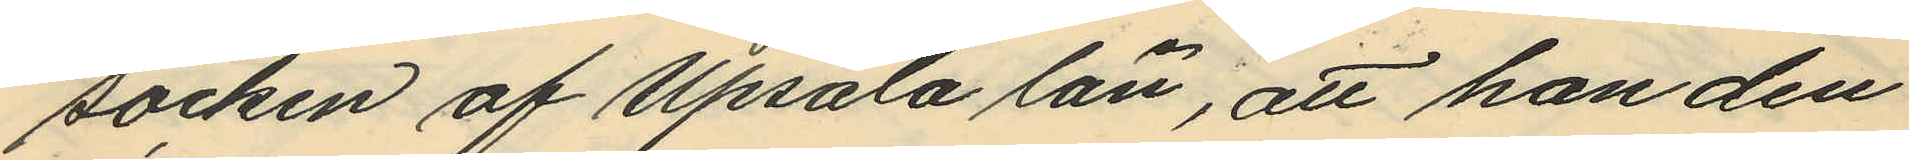socken af Upsala län, att han den
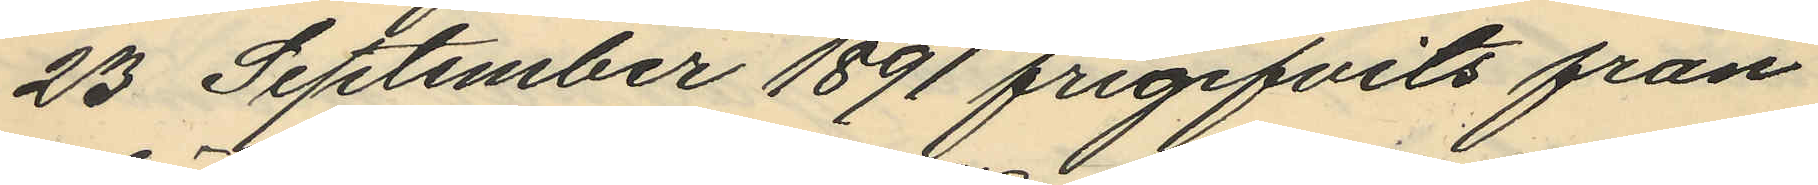23 September 1891 frigifvits från
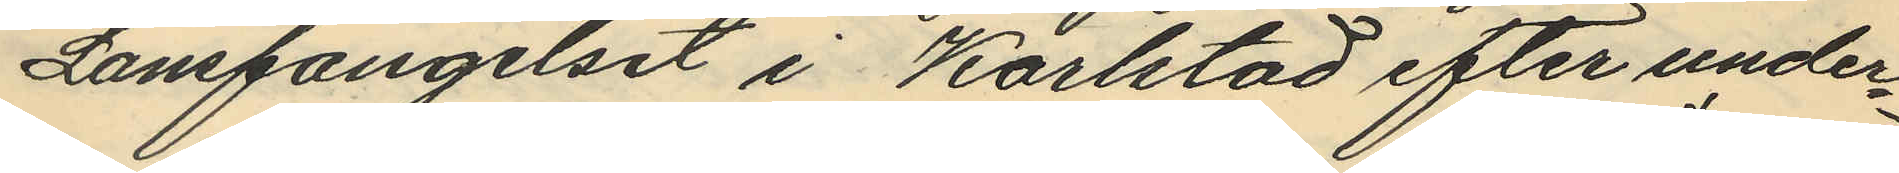Länsfängelset i Karlstad efter under¬
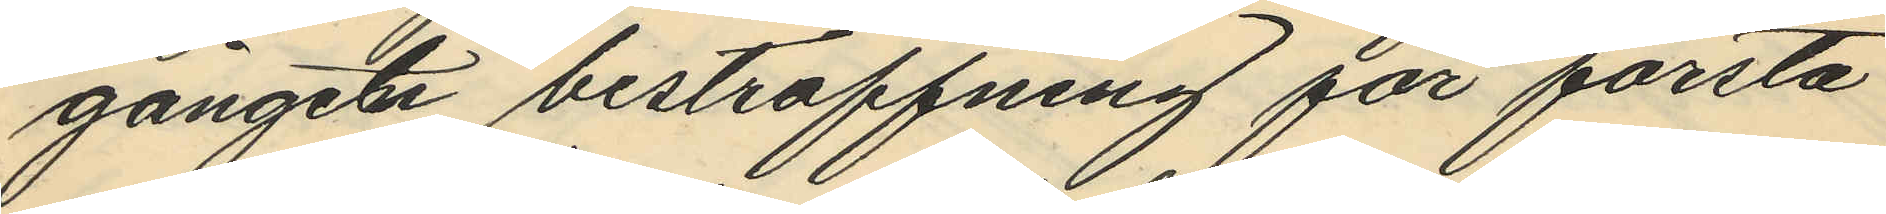gången bestraffning för första
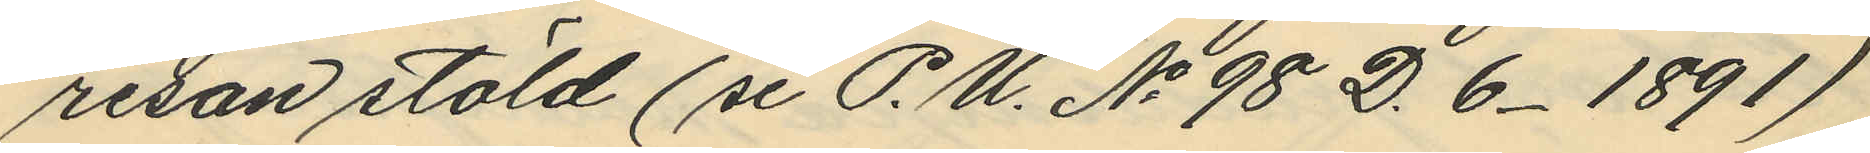resan stöld (se P.U. No 98 D. 6. 1891)
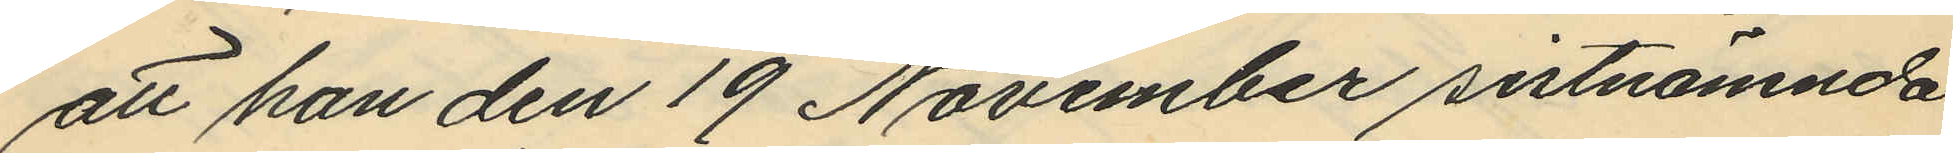att han den 19 November sistnämnda
